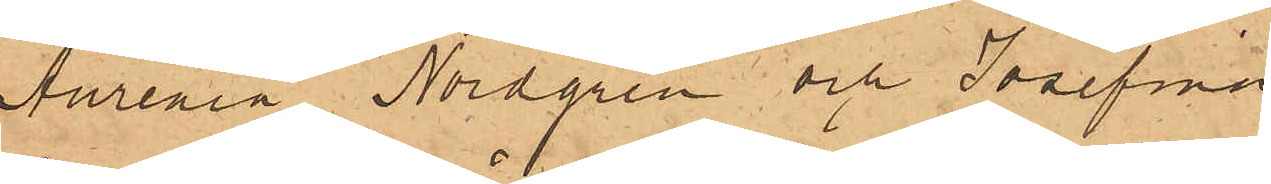Aurenia Nordgren och Josefina
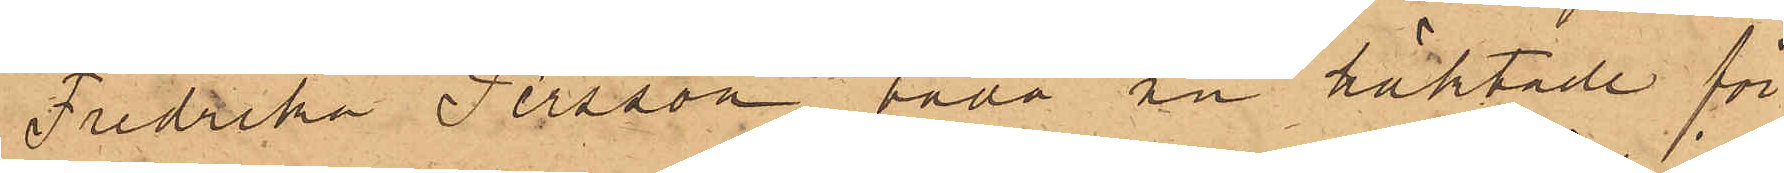Fredrika Persson, båda nu häktade för
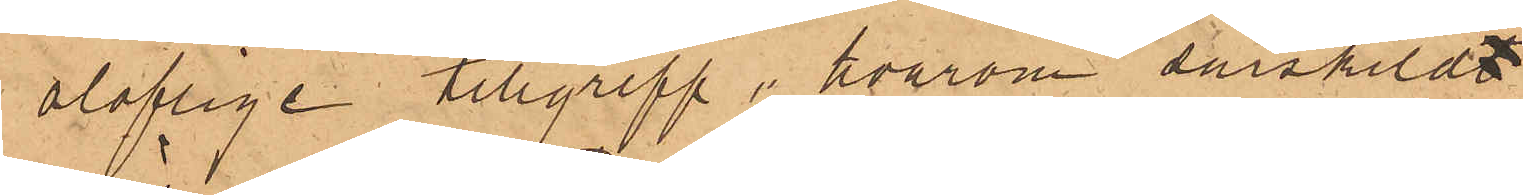oloflige tillgrepp, hvarom särskildt
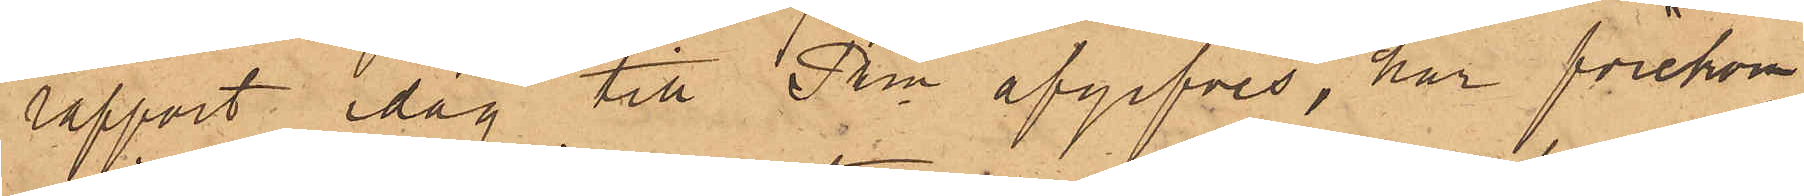rapport idag till Pkn afgifves, har förekom¬
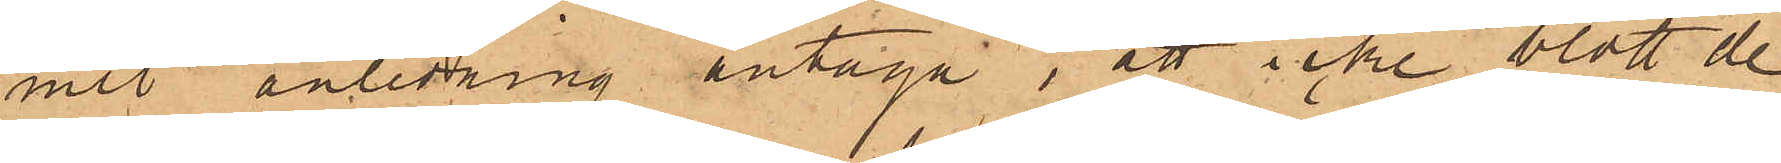mit anledning antaga, att icke blott de
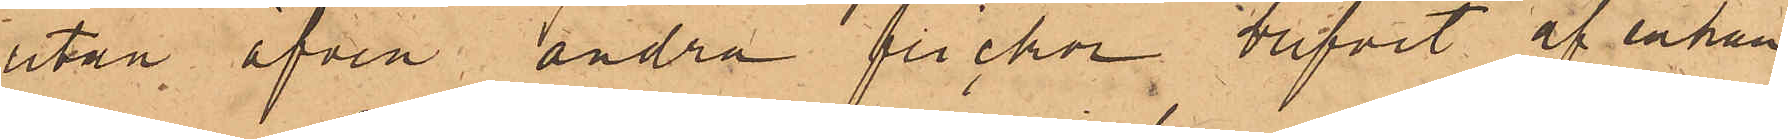utan äfven andra flickor, blifvit af enkan
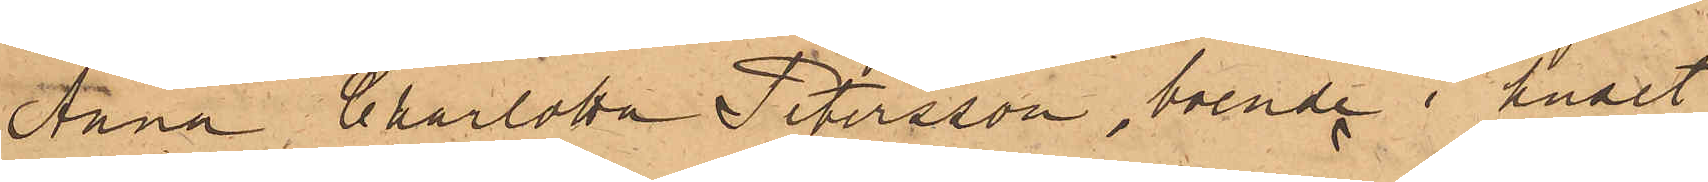Anna Charlotta Petersson, boende i huset
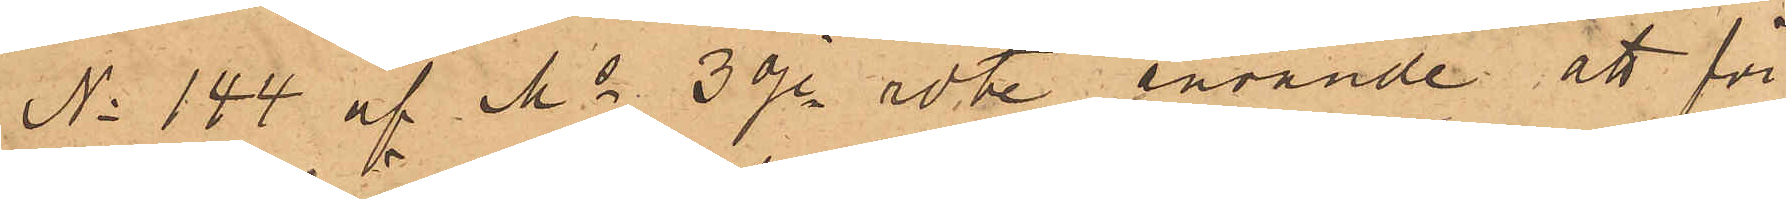No 144 af Ms 3dje rote använde att för
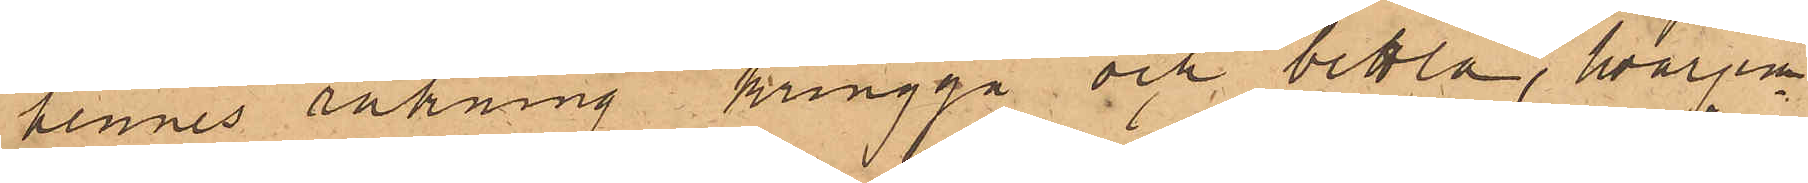hennes räkning kringgå och bettla, hvarjem¬
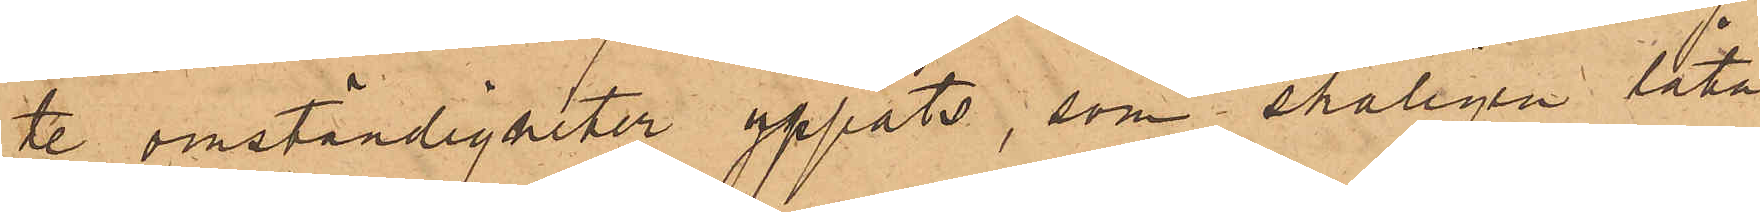te omständigheter yppats, som skäligen låta
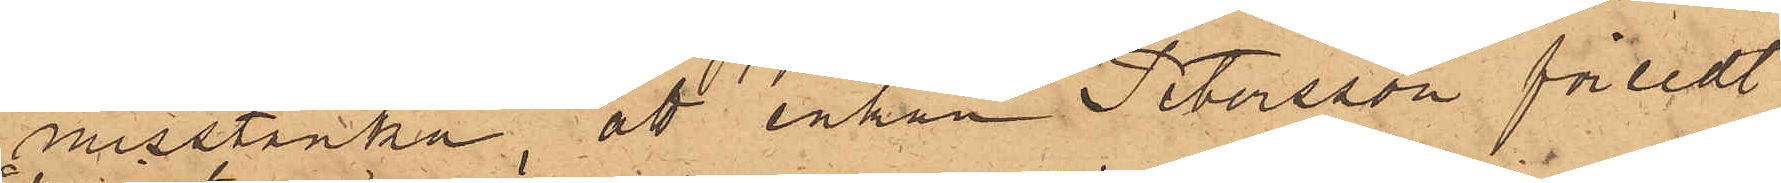misstänka, att enkan Petersson försedt
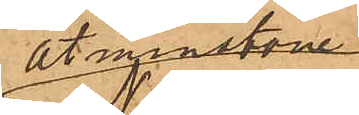åtminstone
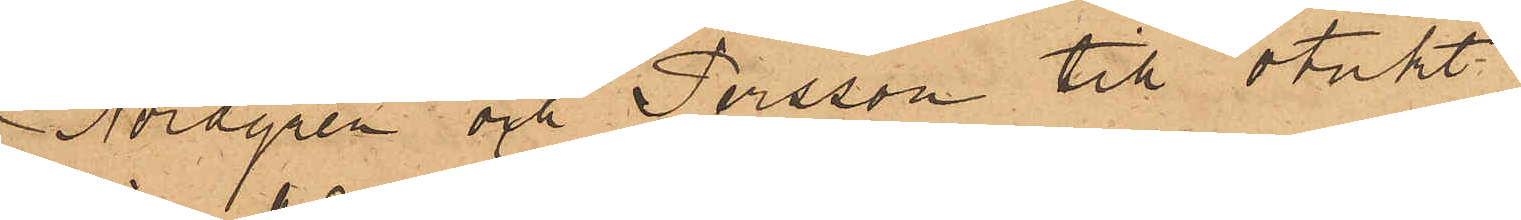Nordgren och Persson till otukt.
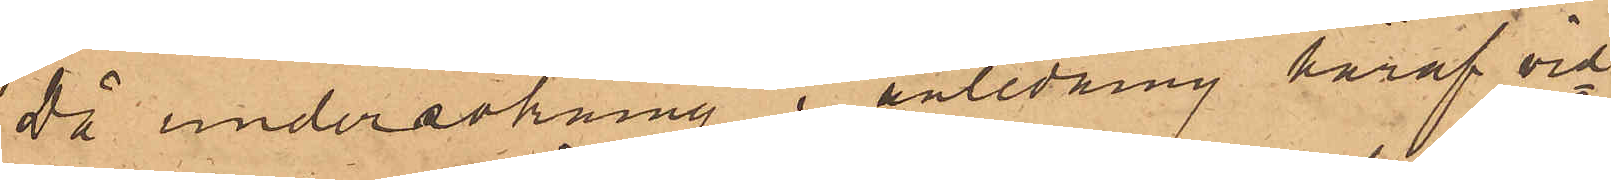då undersökning i anledning häraf vid¬
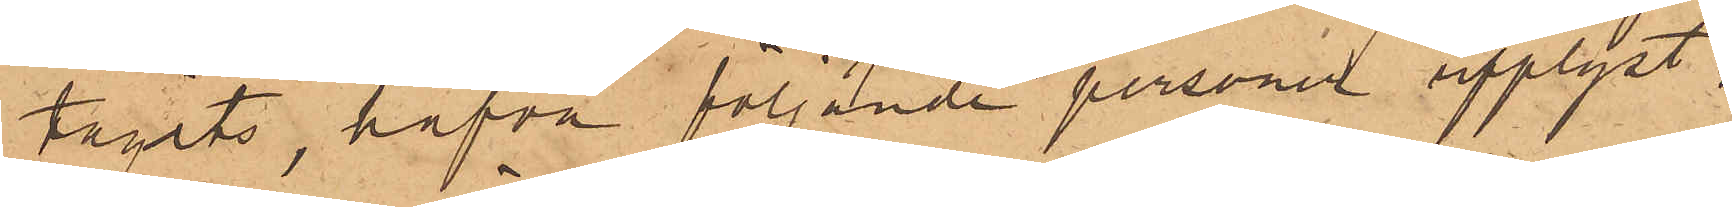tagits, hafva följande personer upplyst:
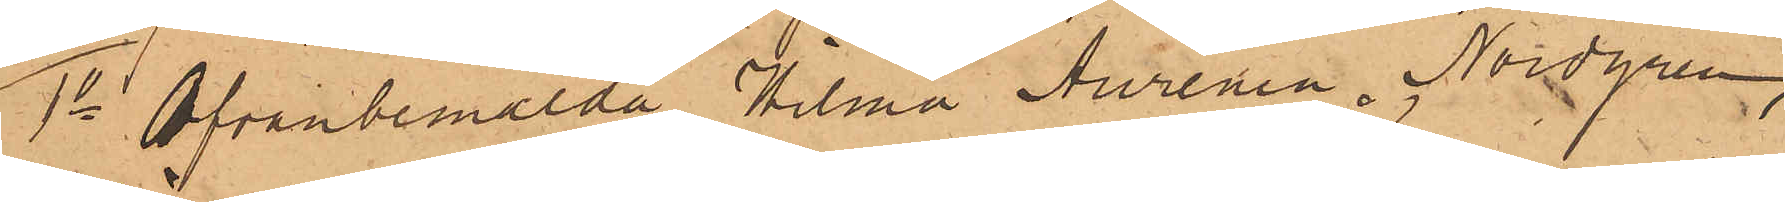1o Ofvanbemälda Hilma Aurenia Nordgren,
